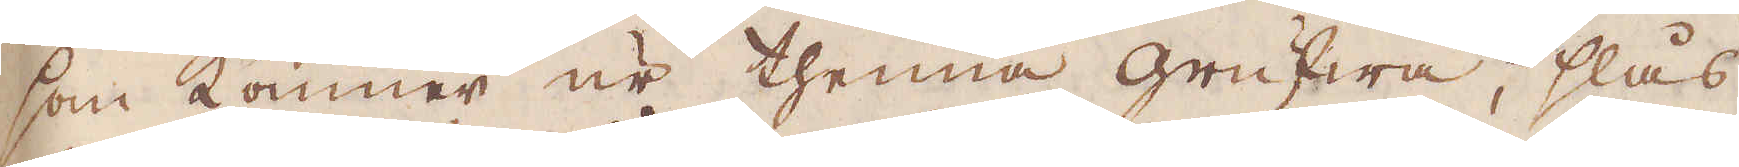som kommer ur thenna grufwa, slås
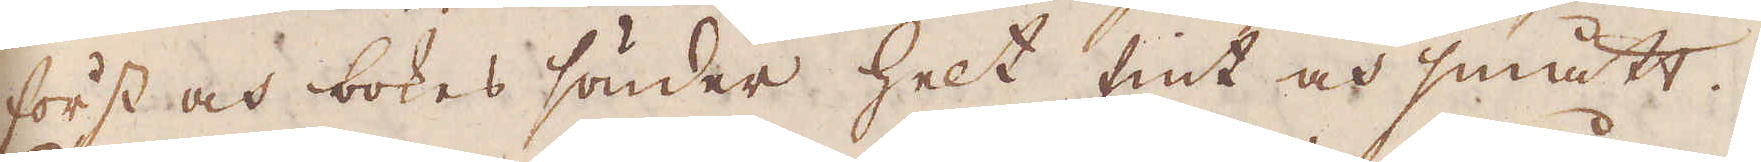först och bokas sönder helt fint och smått.
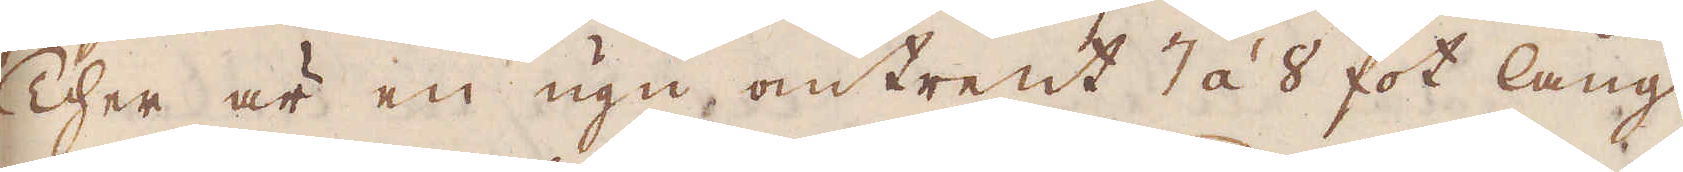Ther är en ugn omtrent 7 á 8 fot lång
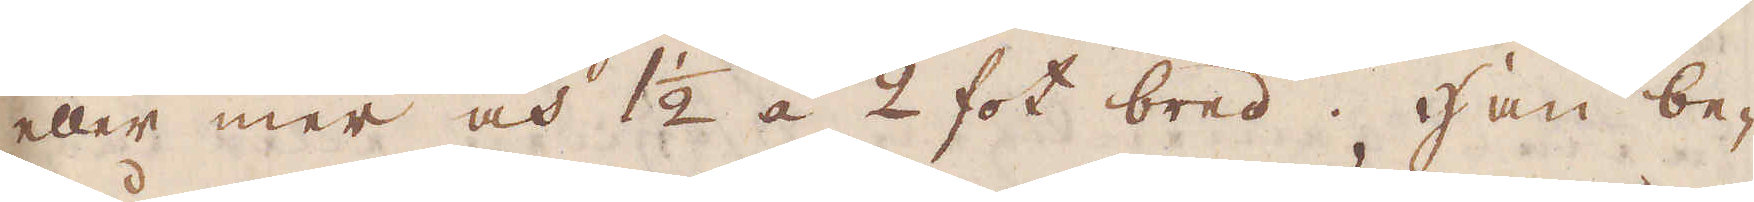eller mer och 1 1/2 á 2 fot bred. Han be-
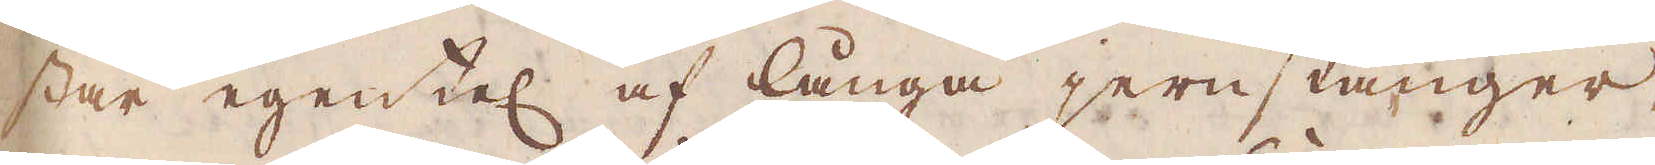står egentel af långa jernstänger,
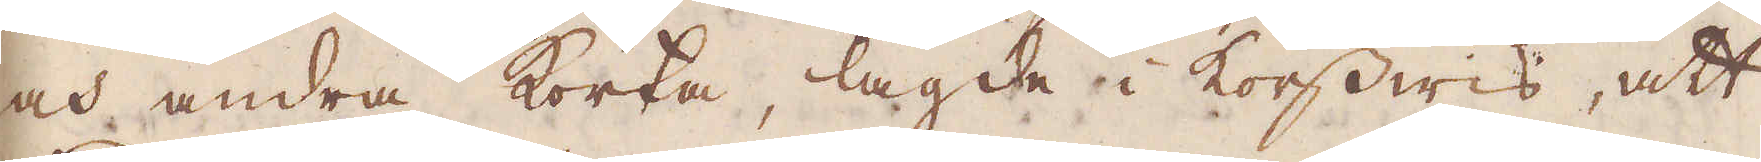och andra korta, lagde i korswis, att
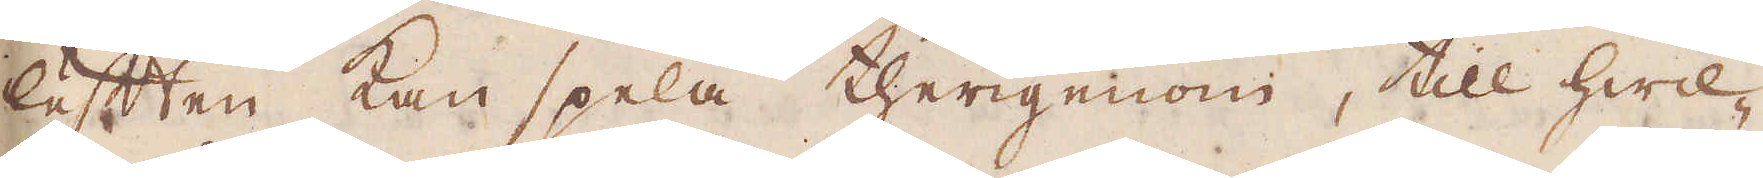luften kan spela therigenom, till hwil-
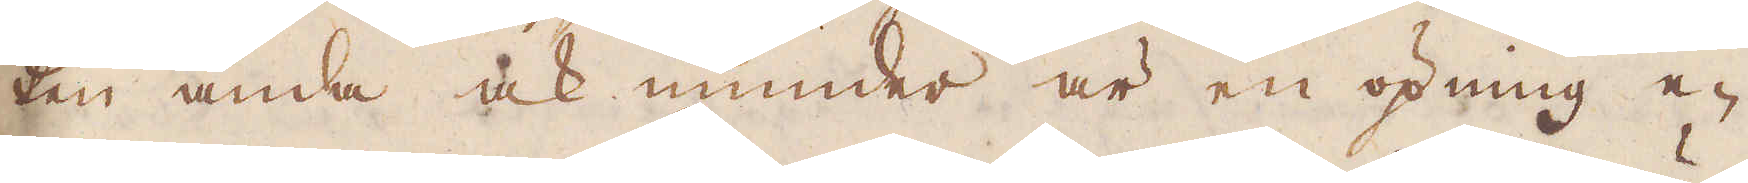ken ända ock inunder är en öpning e-
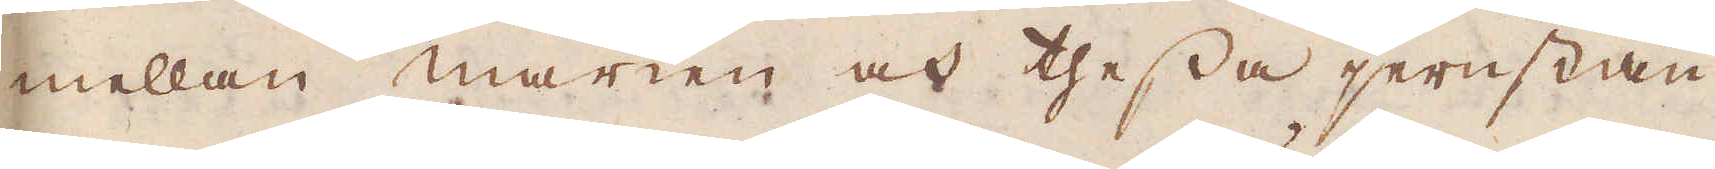mellan marken och thessa jernstän-
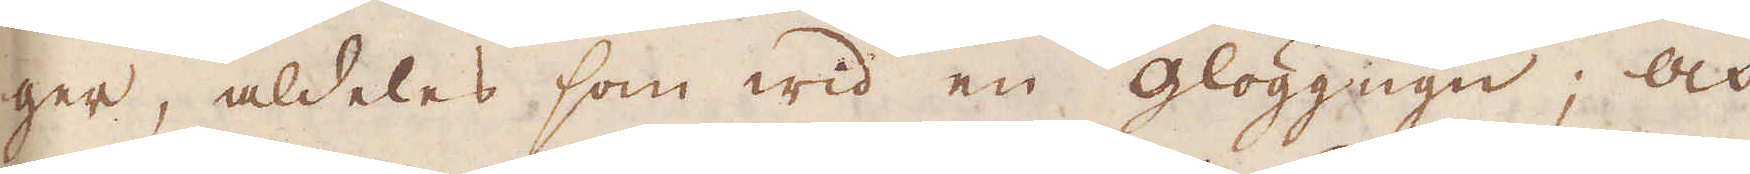ger, aldeles som wid en glöggugn, och
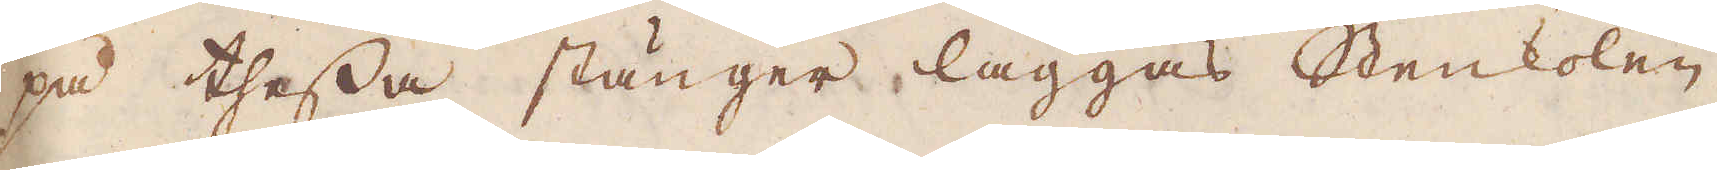på thessa stänger läggas Stenkolen
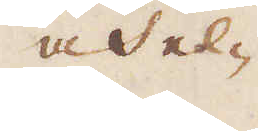och el-
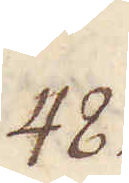48.
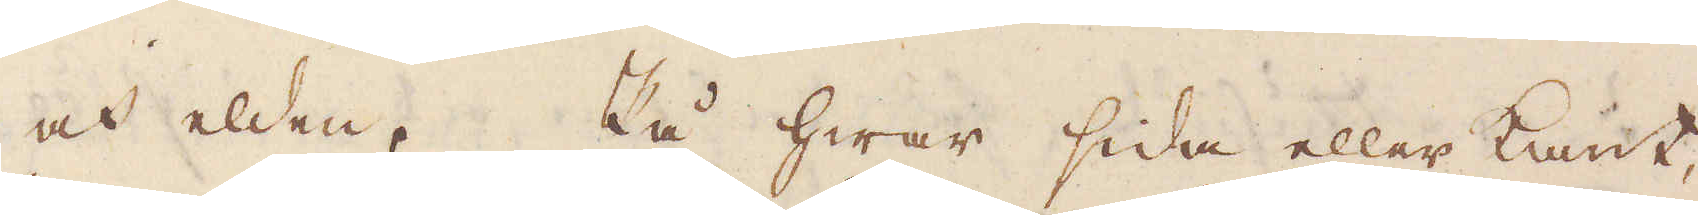och elden. På hwar sida eller kant,
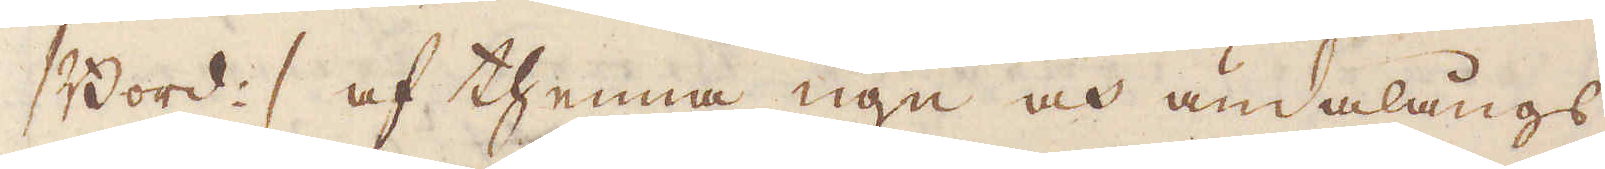/ Bord :/ af thenna ugn och ändalångs
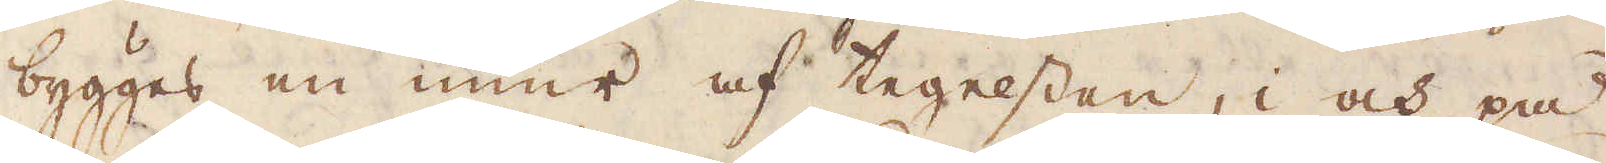bygges en mur af tegelstan, i och på
